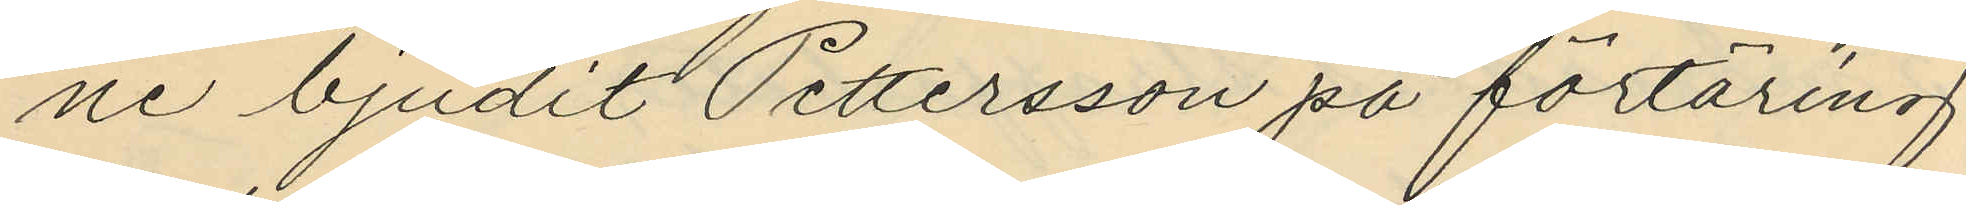ne bjudit Pettersson på förtäring
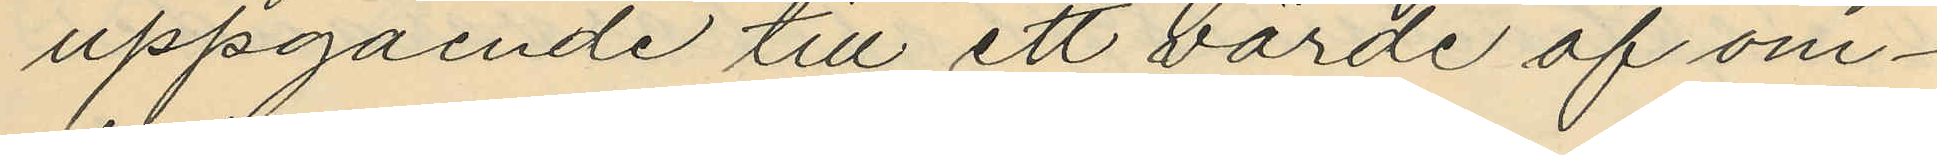uppgående till ett värde af om¬
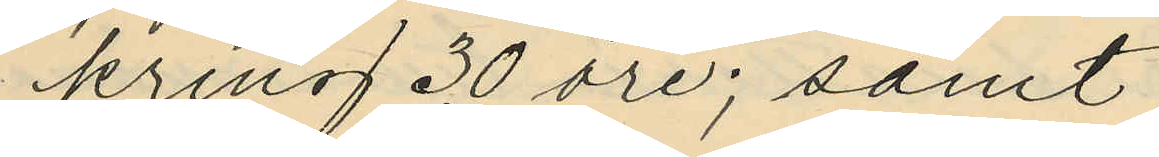kring 30 öre; samt
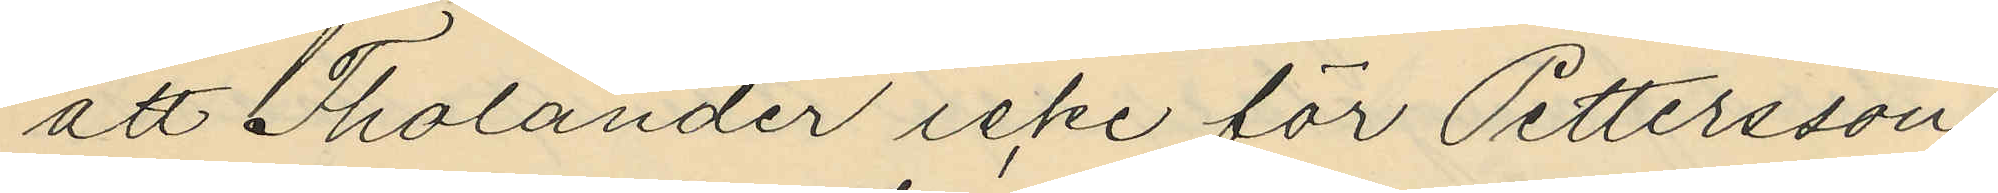att Tholander icke för Pettersson
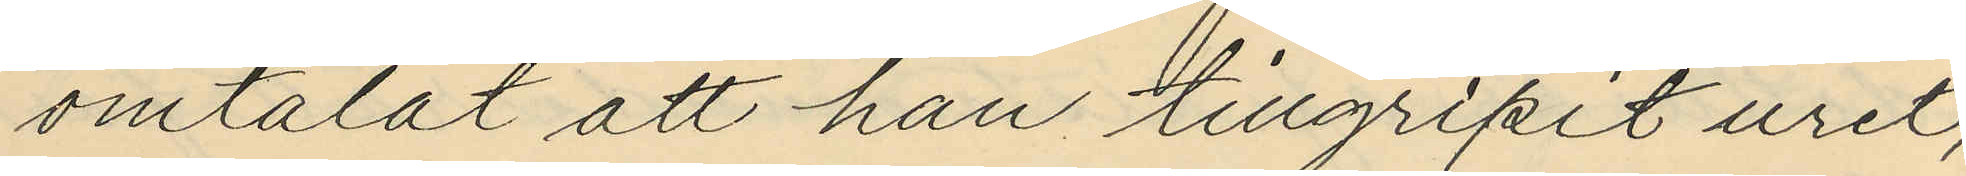omtalat att han tillgripit uret,
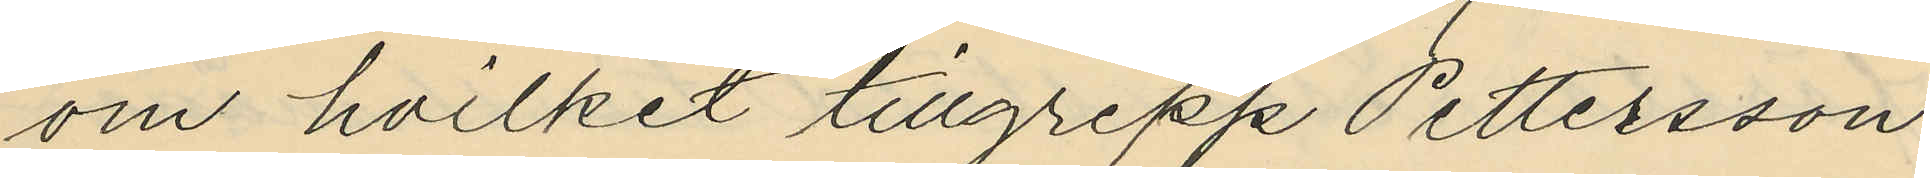om hvilket tillgrepp Pettersson
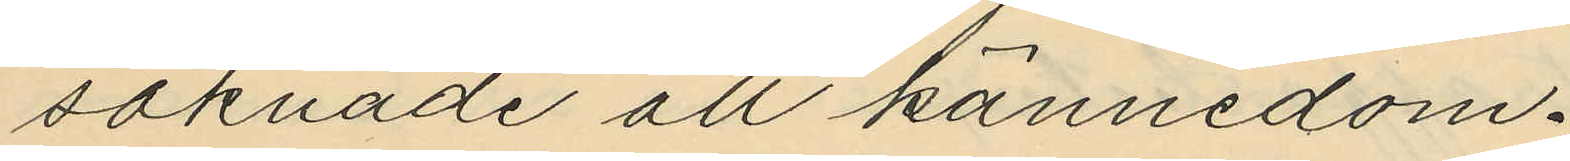saknade all kännedom.
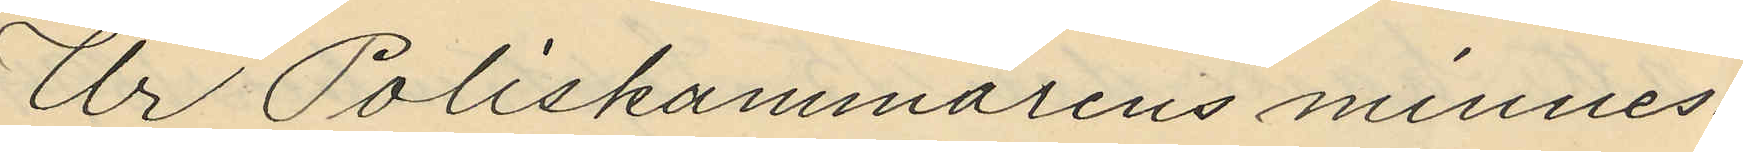Ur Poliskammarens minnes¬
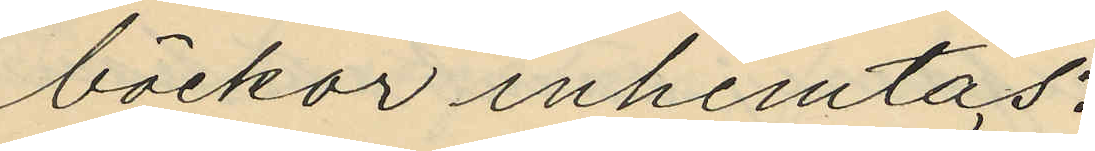böckor inhemtas:
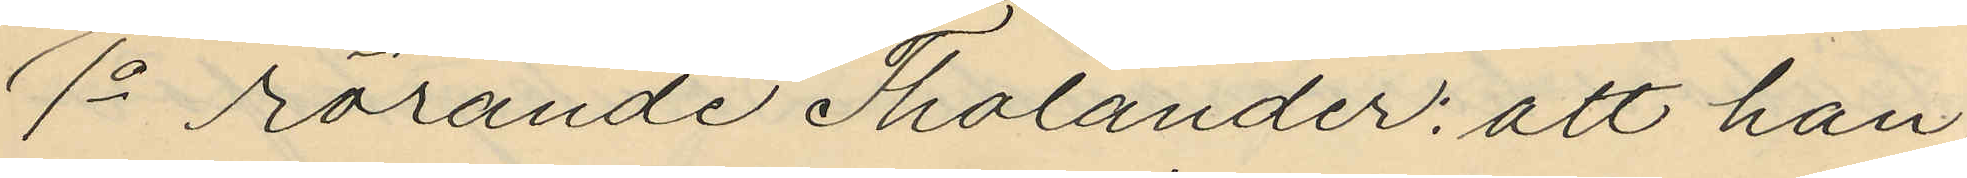1o Rörande Tholander: att han
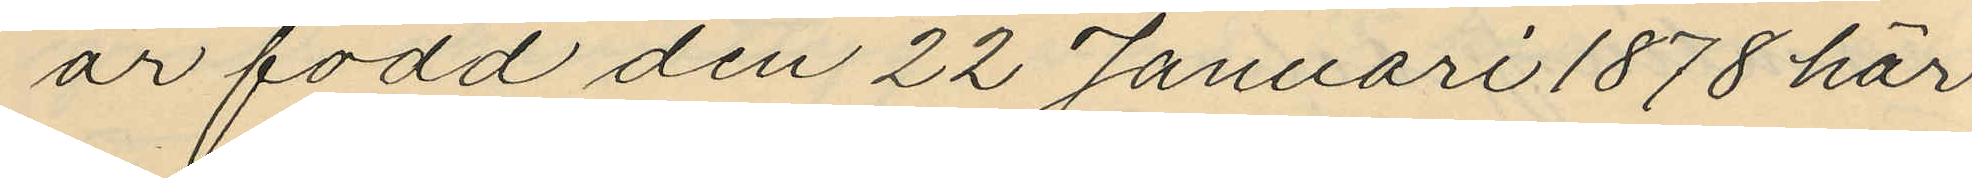är född den 22 Januari 1878 här
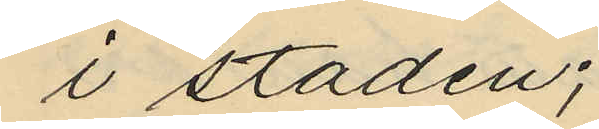i staden;
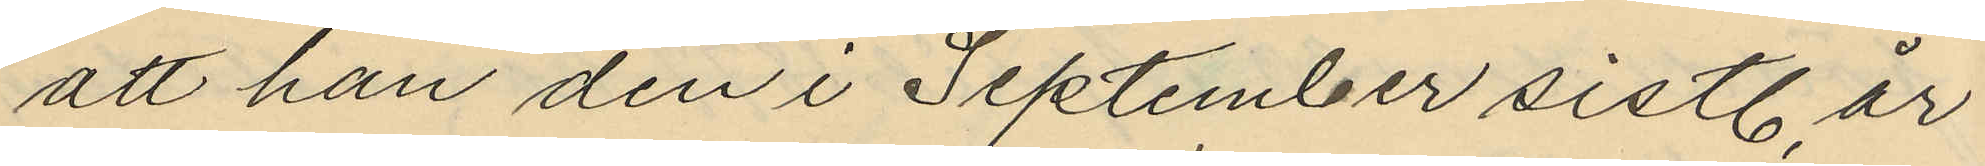att han den i September sistl. år
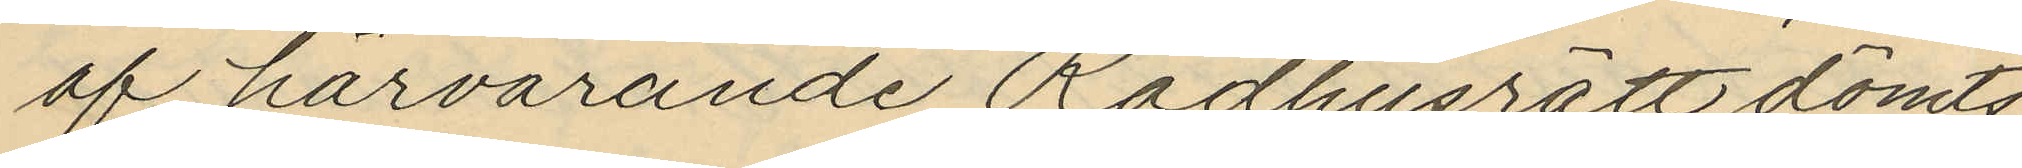af härvarande Rådhusrätt dömts
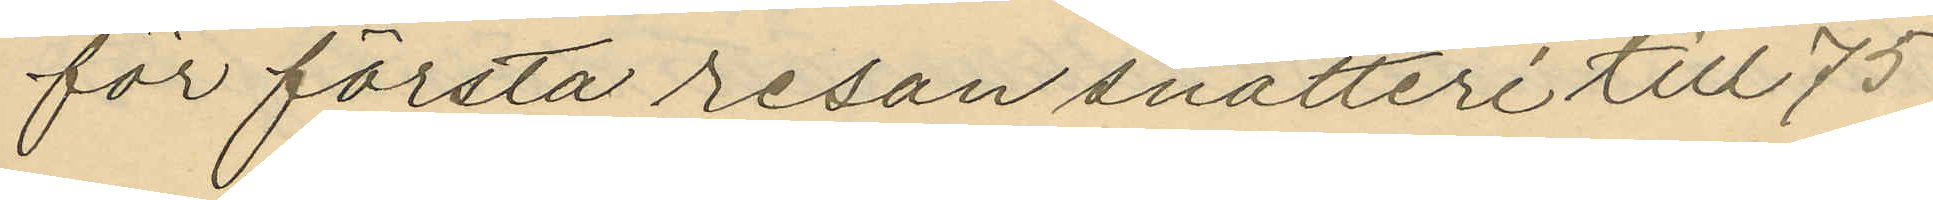för första resan snatteri till 75
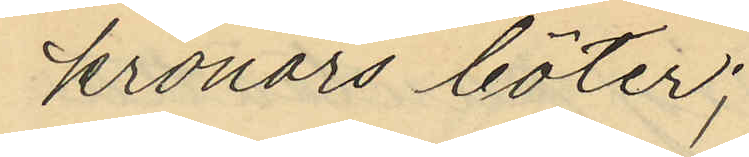kronors böter;
